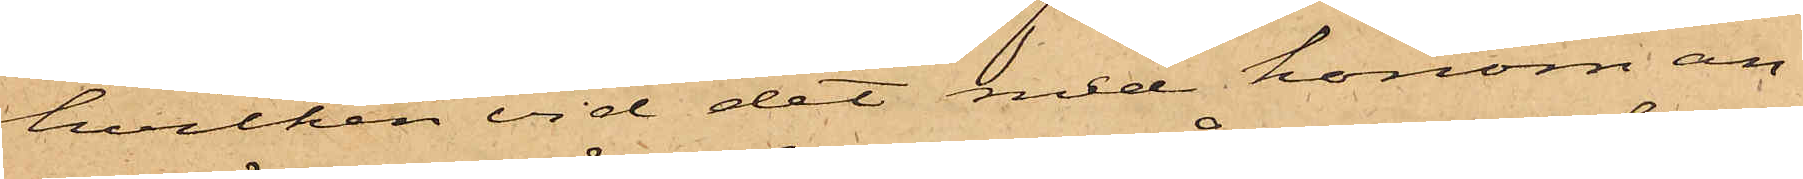hvilken vid det med honom an¬
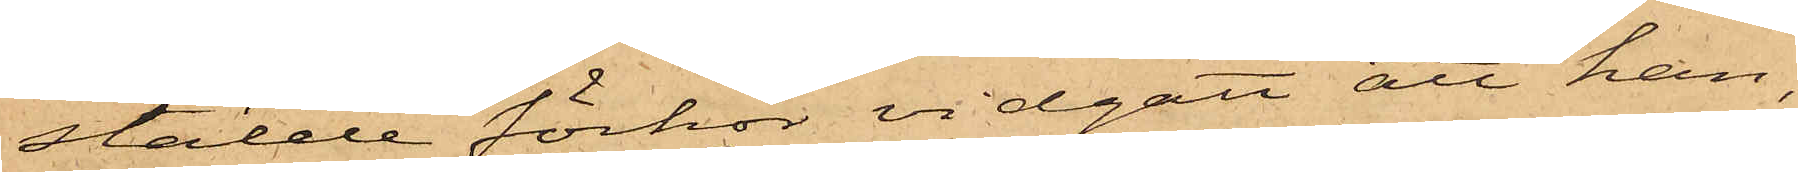stälde förhör vidgått att han,
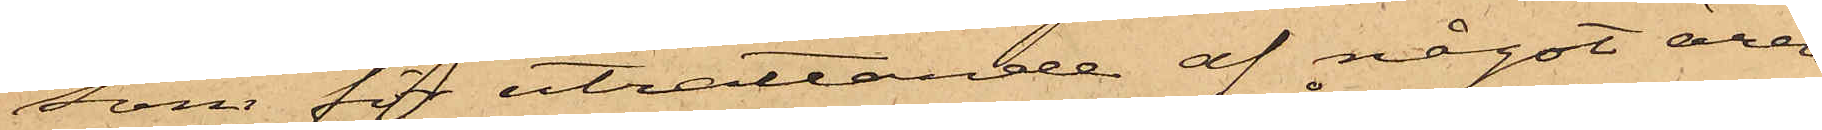som för uträttande af något ären¬
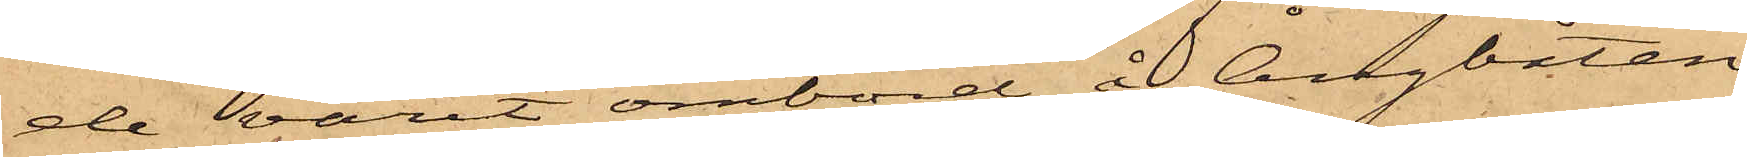de varit ombord å Ångbåten,
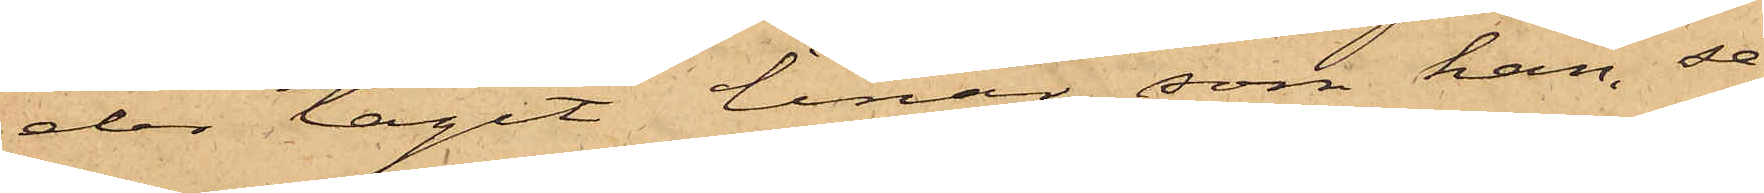der tagit linan, som han, se¬
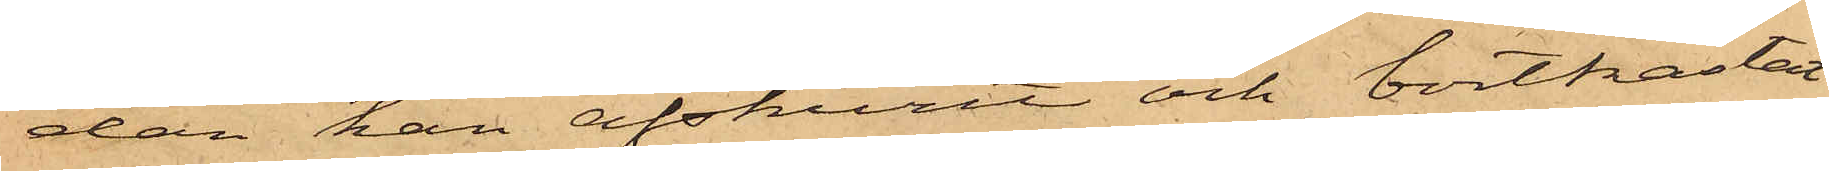dan han afskurit och bortkastat
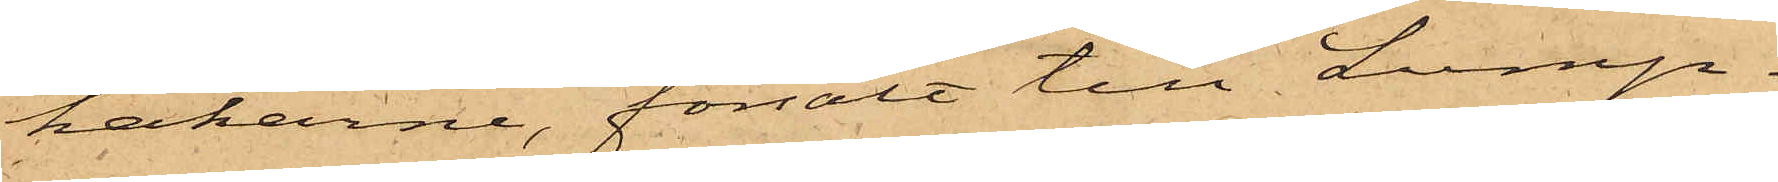hakarne, försålt till Lump¬
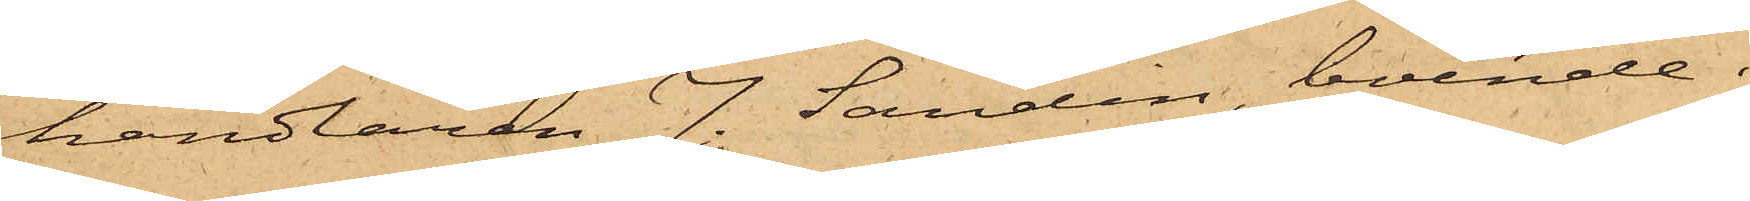handlaren J. Sandin, boende i
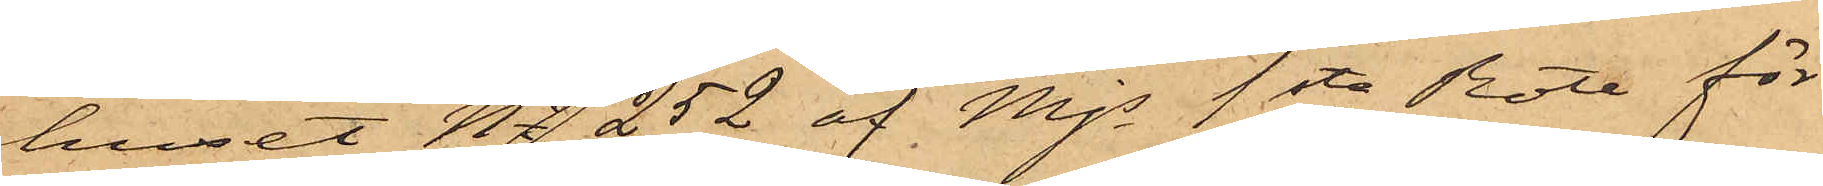huset No 252 af Mjs 1sta Rote för
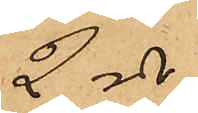2 rdr.
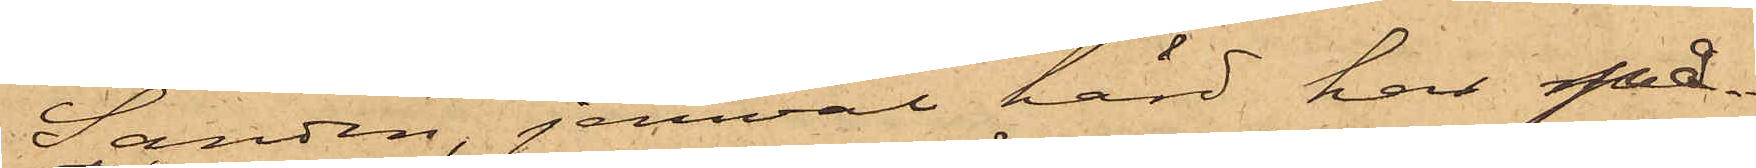Sandin, jemväl hörd har på¬
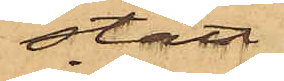stått
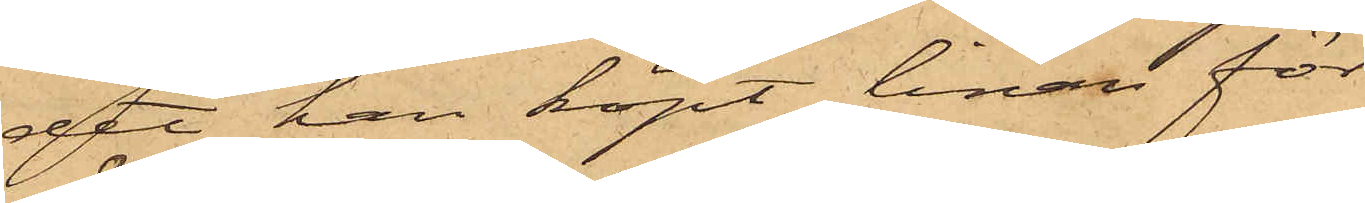det han köpt linan för
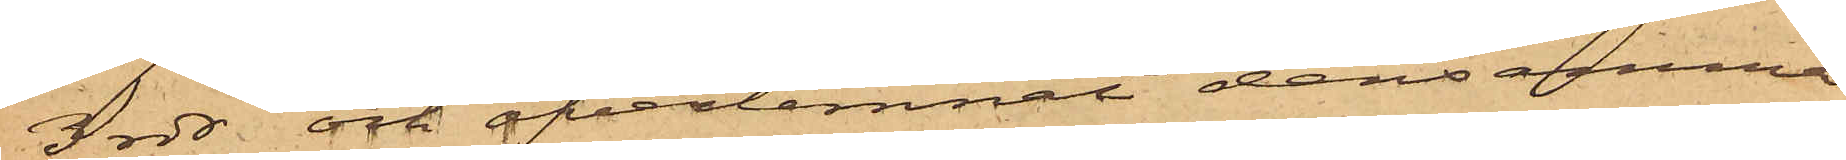3 rdr och öfverlemnat densamma
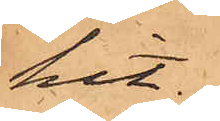hit.
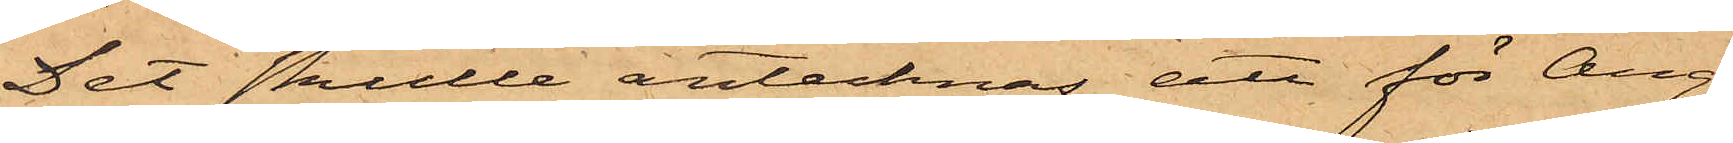Det skulle antecknas att för Ång¬
